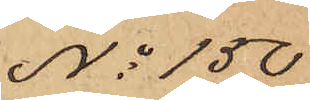No 150
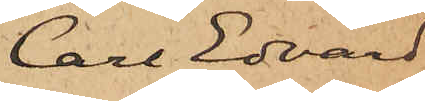Carl Edvard
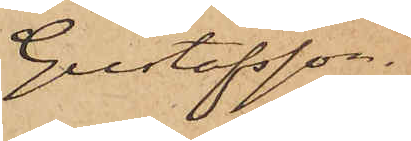Gustafsson.
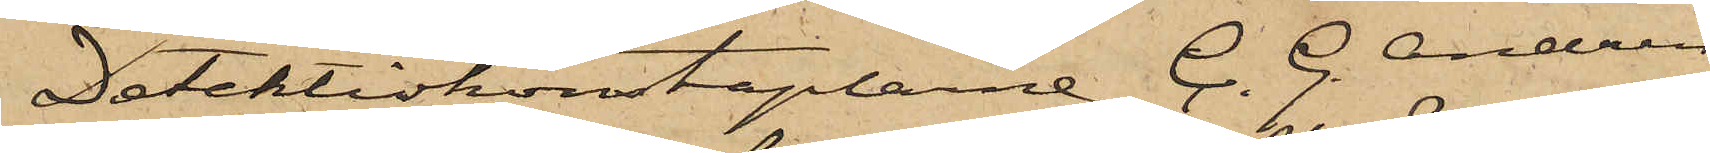Detektivkonstaplarne C. G. Andrén
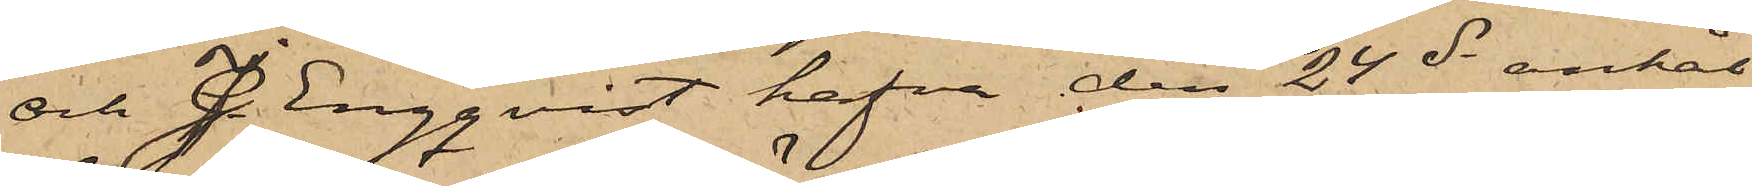och J. Engqvist hafva den 24 ds anhål¬
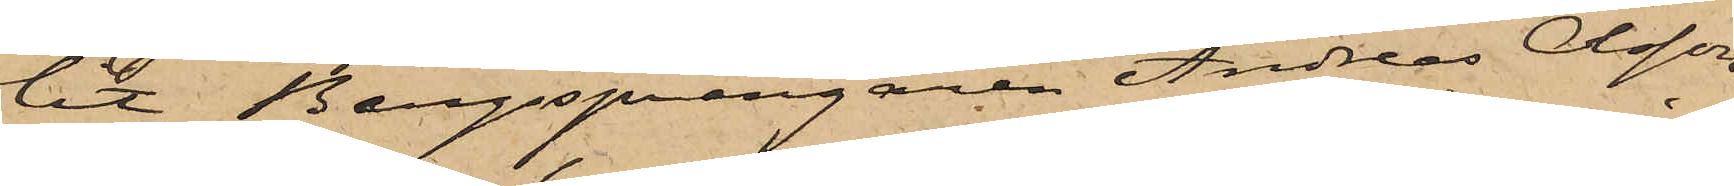lit Bergssprängaren Andreas Olsson
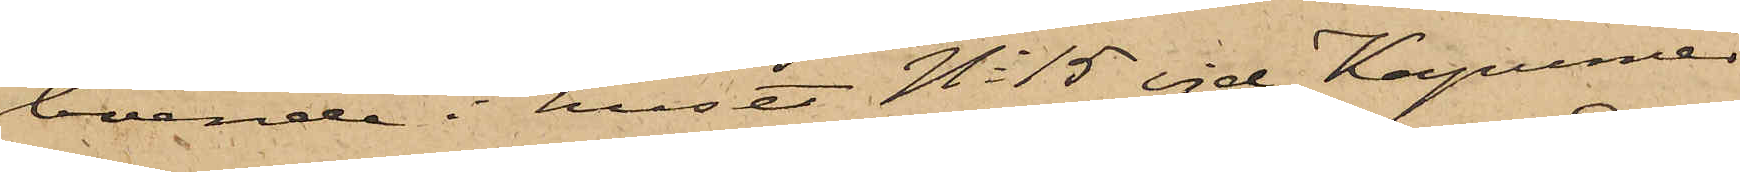boende i huset No 15 vid Kapunier¬
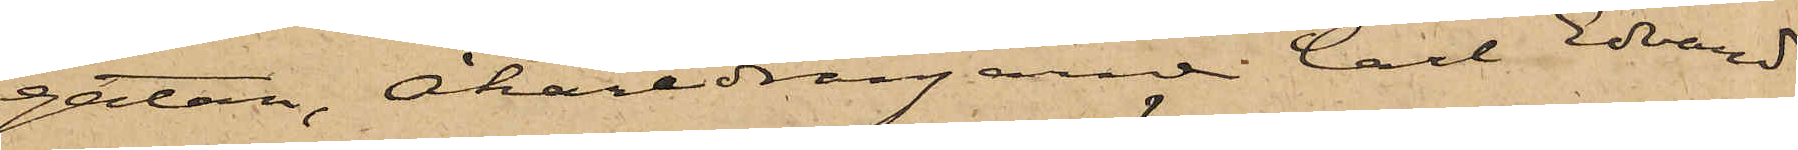gatan, Åkaredrängarne Carl Edvard
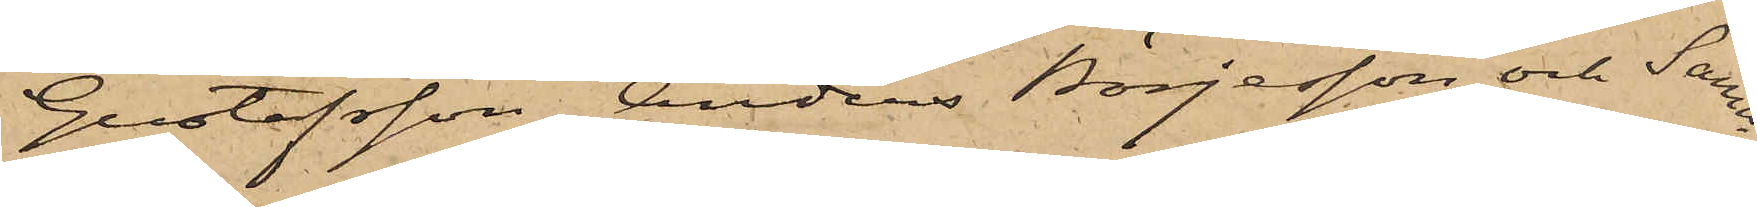Gustafsson, Anders Börjesson och Samu¬
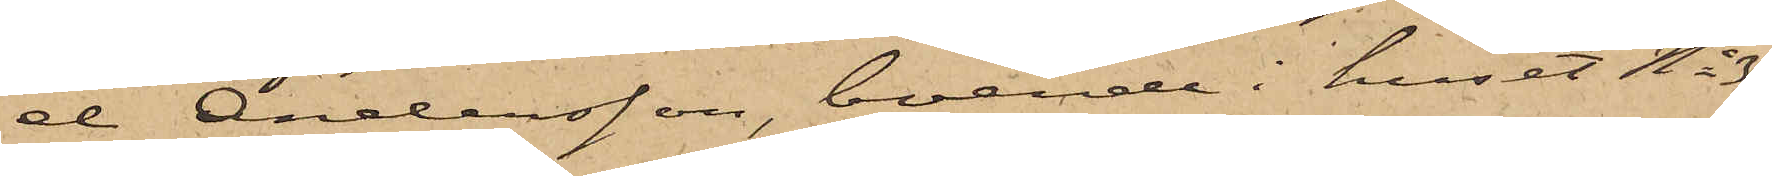el Andersson, boende i huset No 30
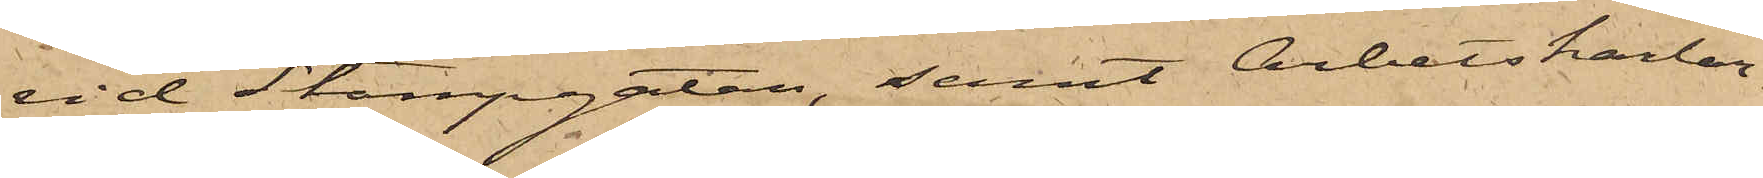vid Stampgatan, samt Arbetskarlar¬
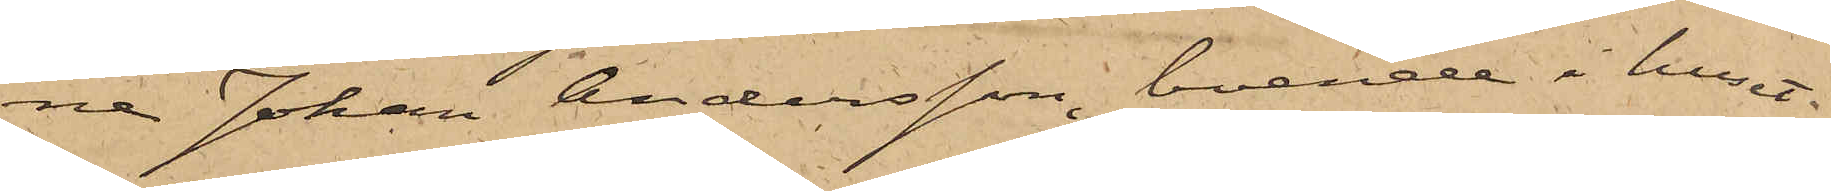na Johan Andersson, boende i huset
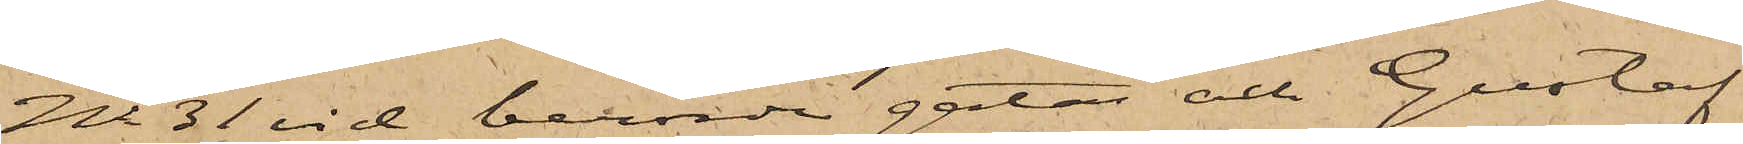No 31 vid berörde gatan och Gustaf
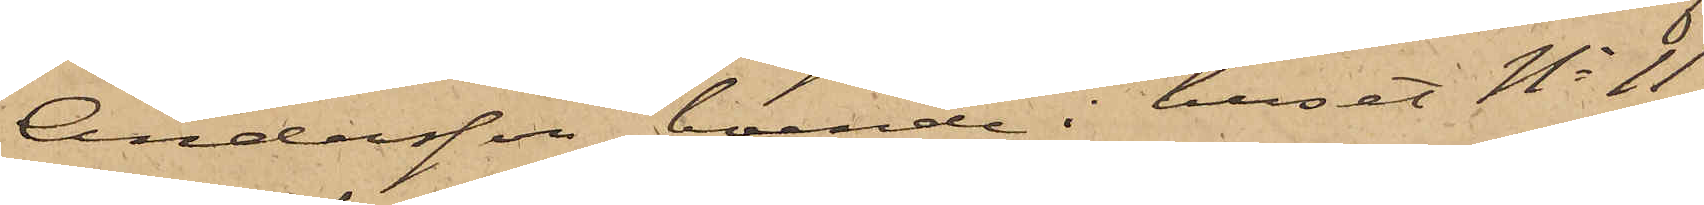Andersson, boende i huset No 11
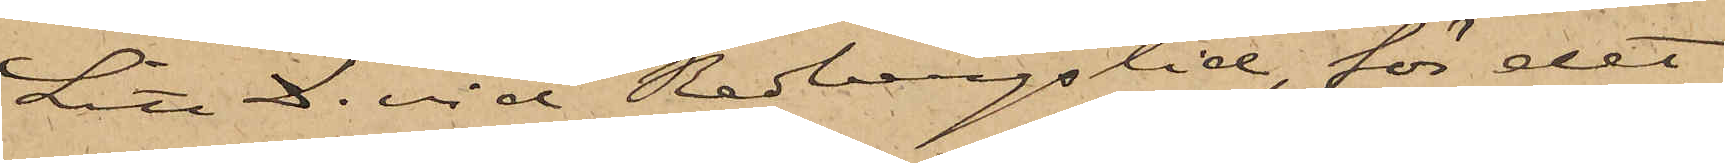Litt. D. vid Redbergslid, för det
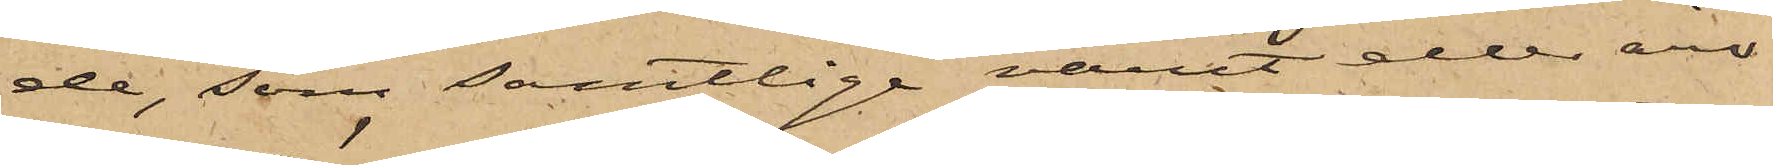de, som samtlige varit eller äro
